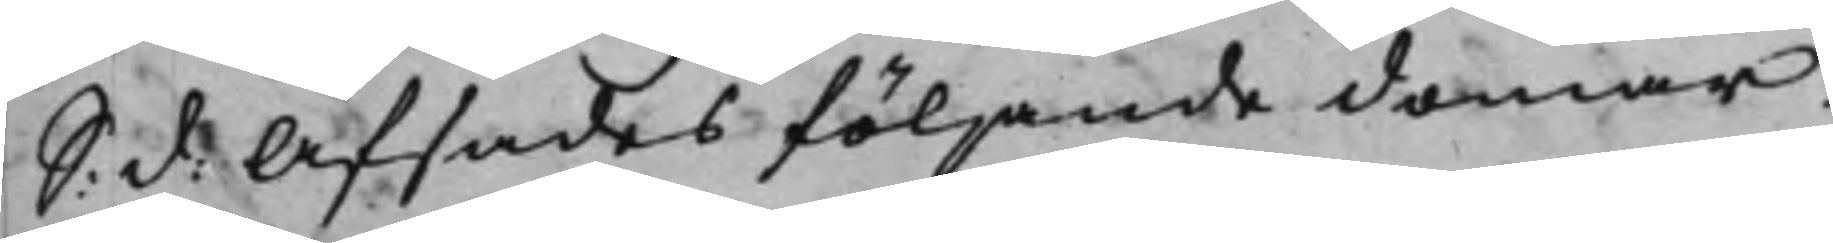S: d: Afsades följande domar: 
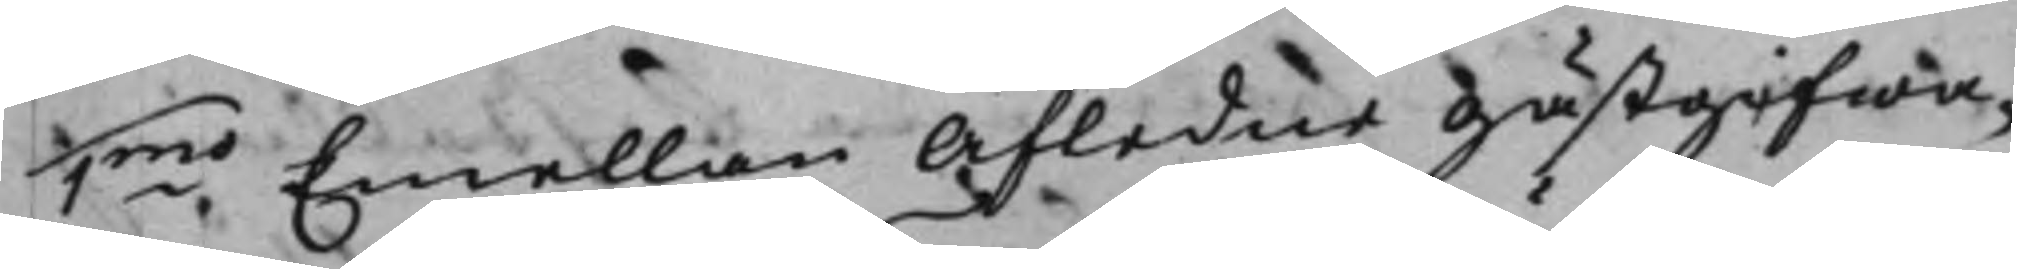1mo Emellan Afledne Gästgifwa¬ 
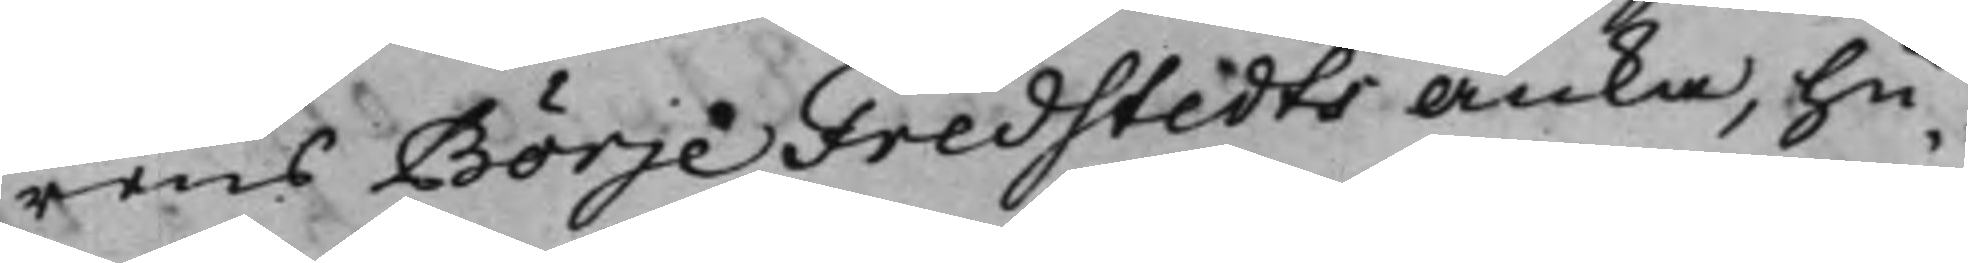rens Börje Fredstedts Änka, hu¬
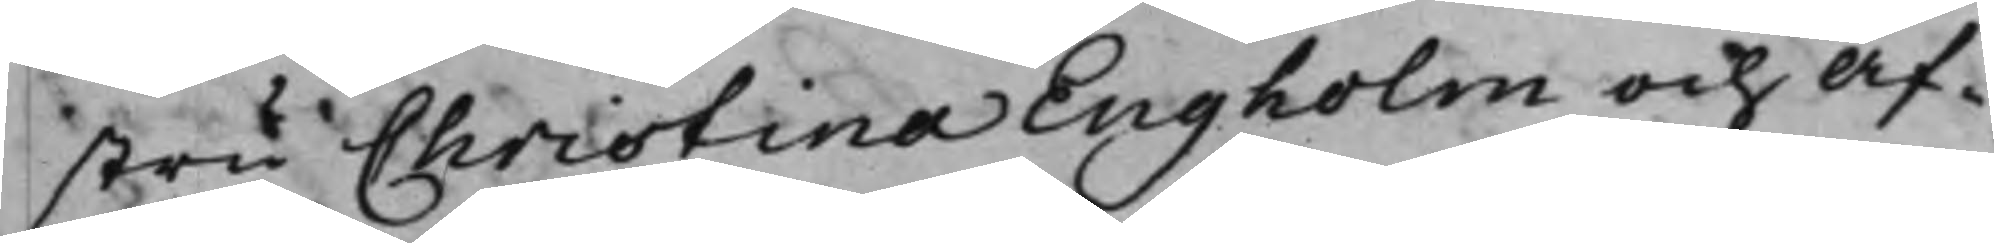stru Christina Engholm och Af¬
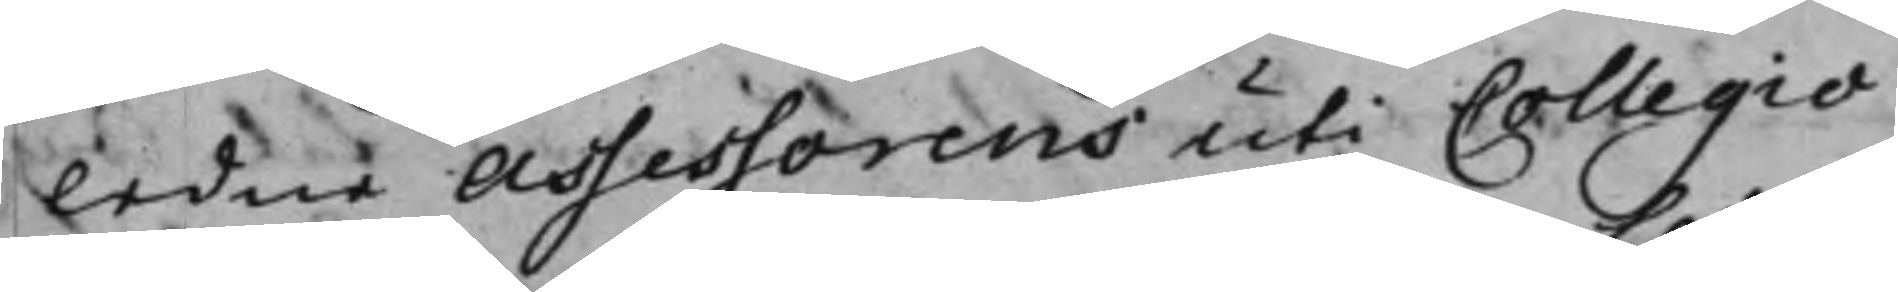ledne Assessorens uti Collegio
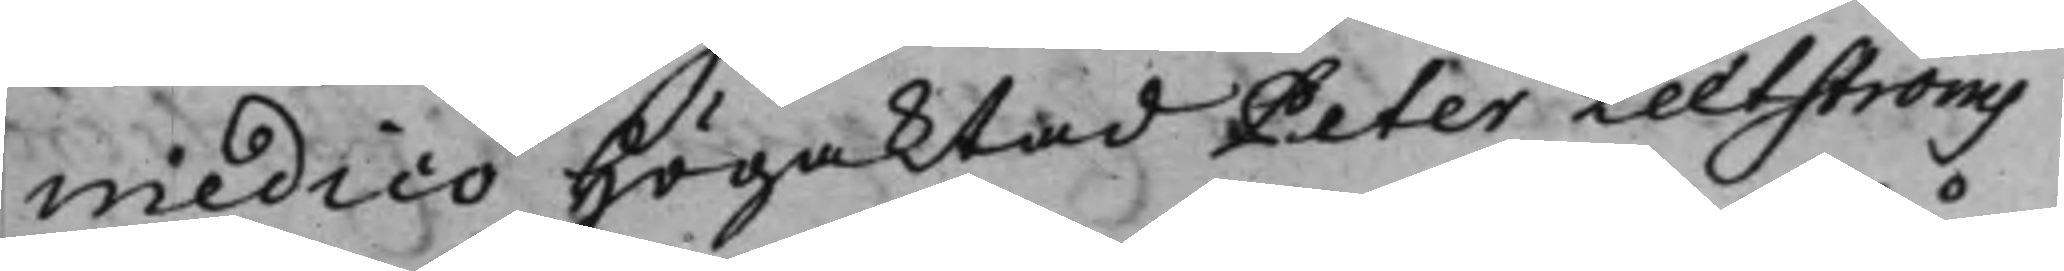medico Högaktad Peter Leetströms
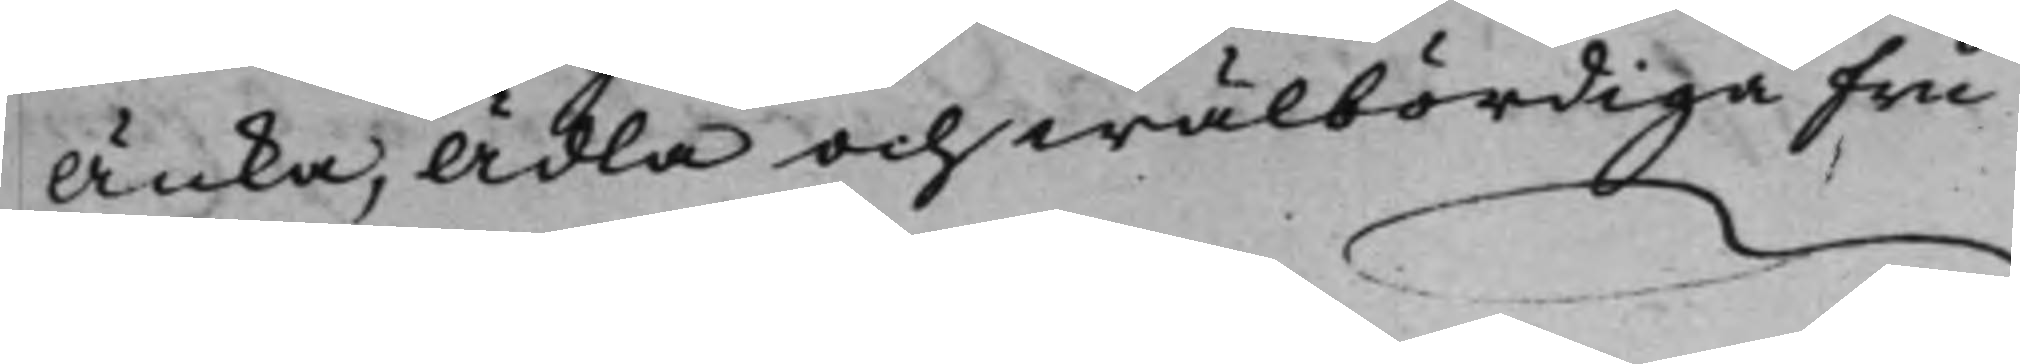Änka, Ädla och wälbördiga Fru
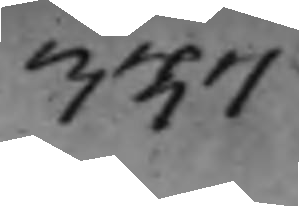337
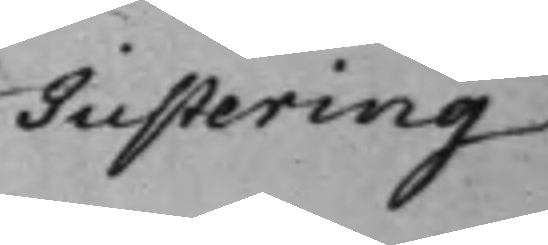Justering 
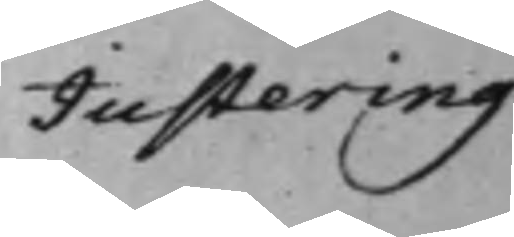Justering 
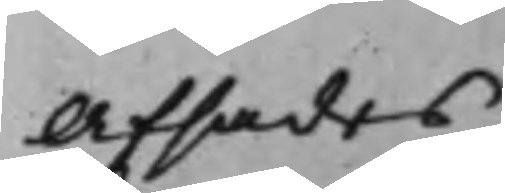Afsades
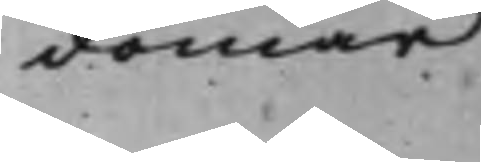domar
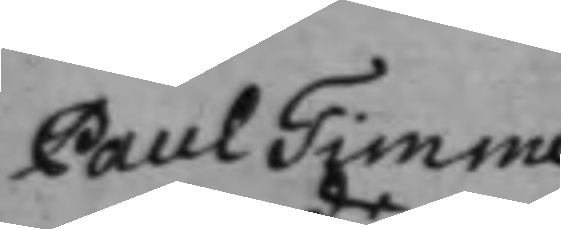Paul Timme
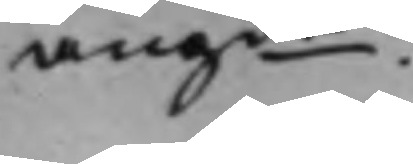angde.
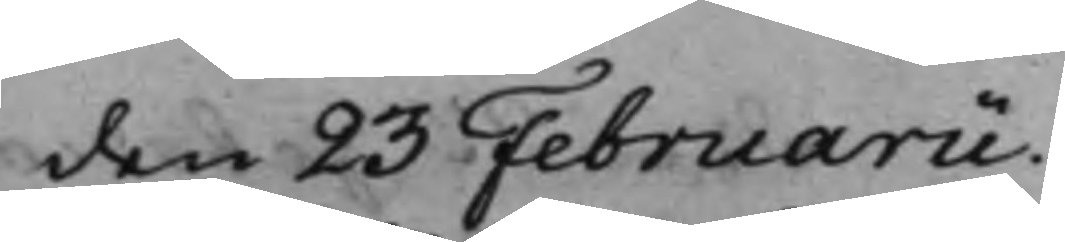den 23 Februarii
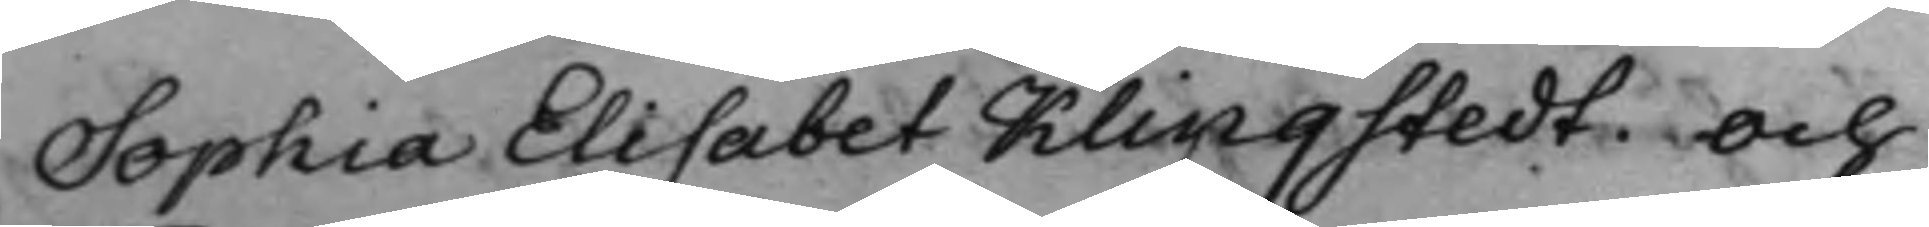Sophia Elisabet Klingstedt och
